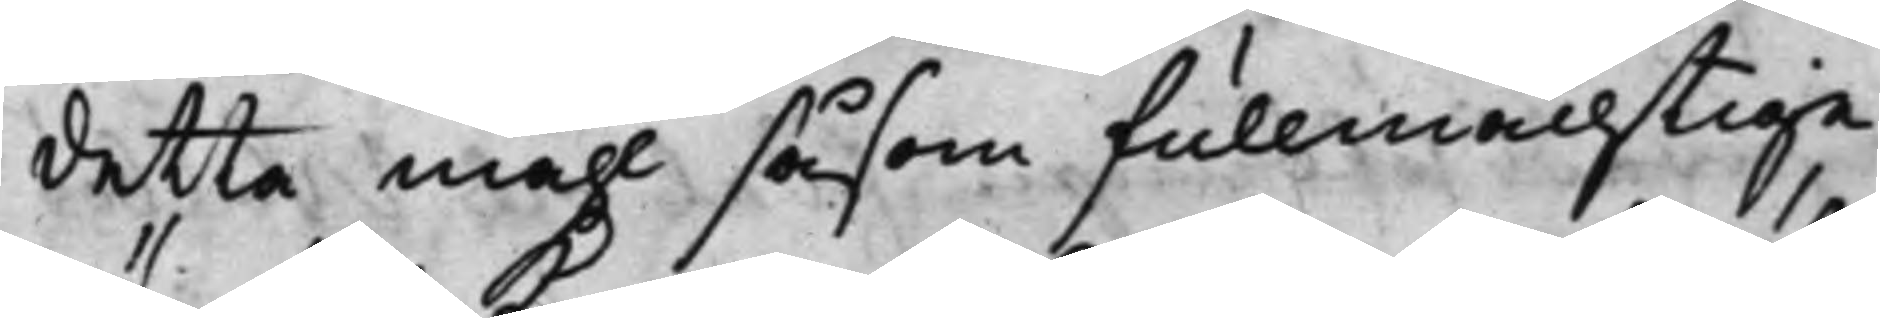detta måhl såsom fullmächtige
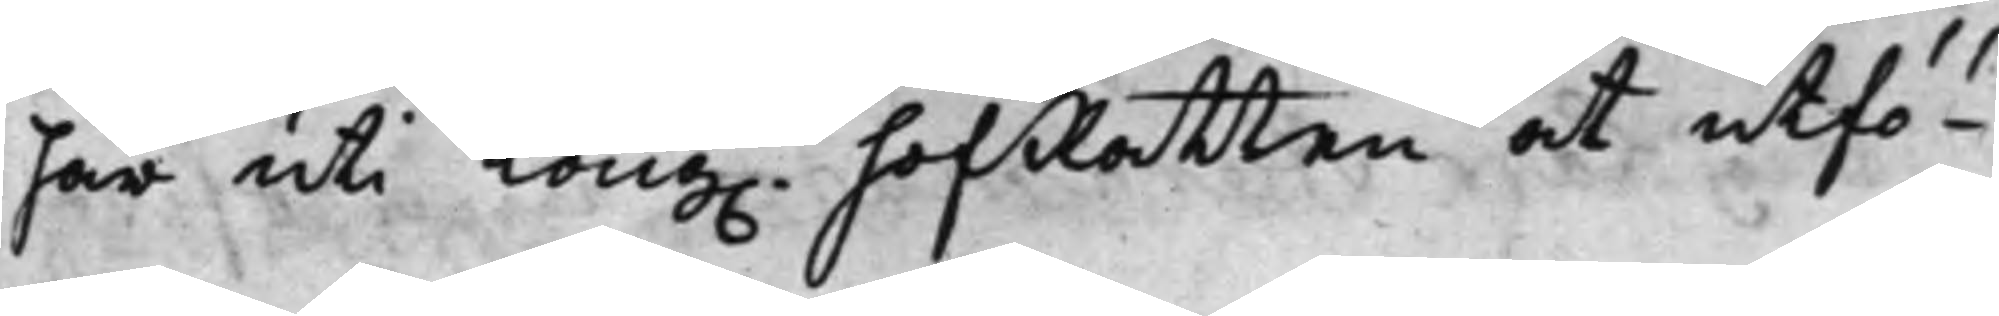här uti Kong. HofRätten at utfö¬
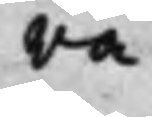ra.
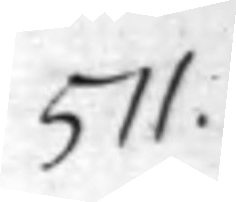511.
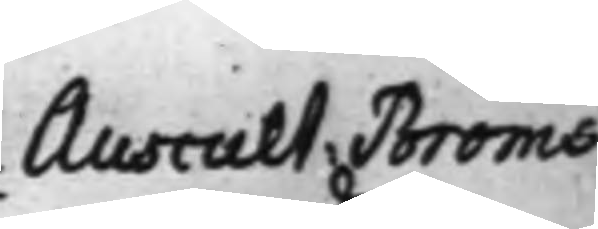Auscult Bröms
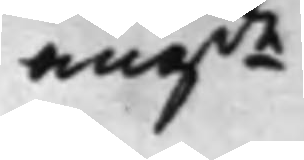angde
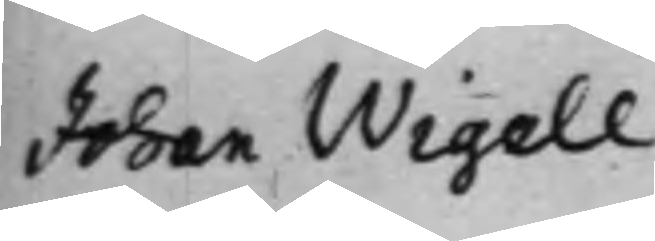Johan Wigell
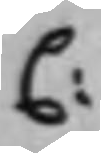C:
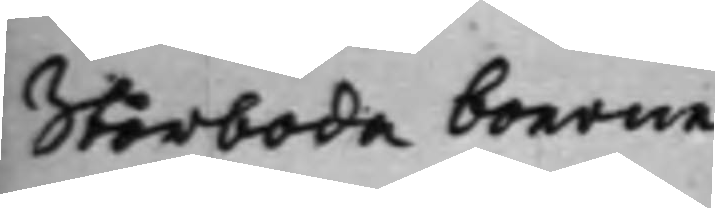Storboda boerne
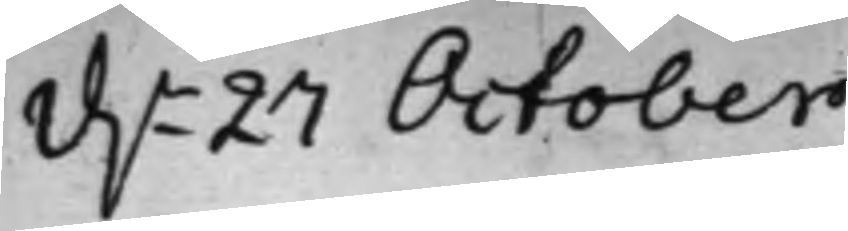d.n 27 October
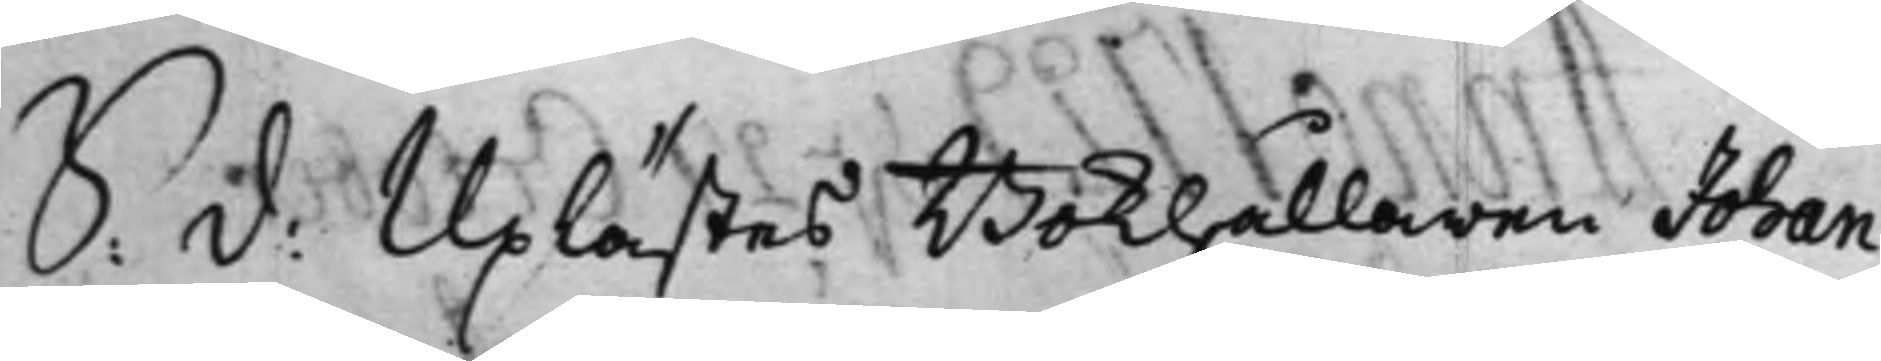S: d: Uplästes Bokhållaren Johan
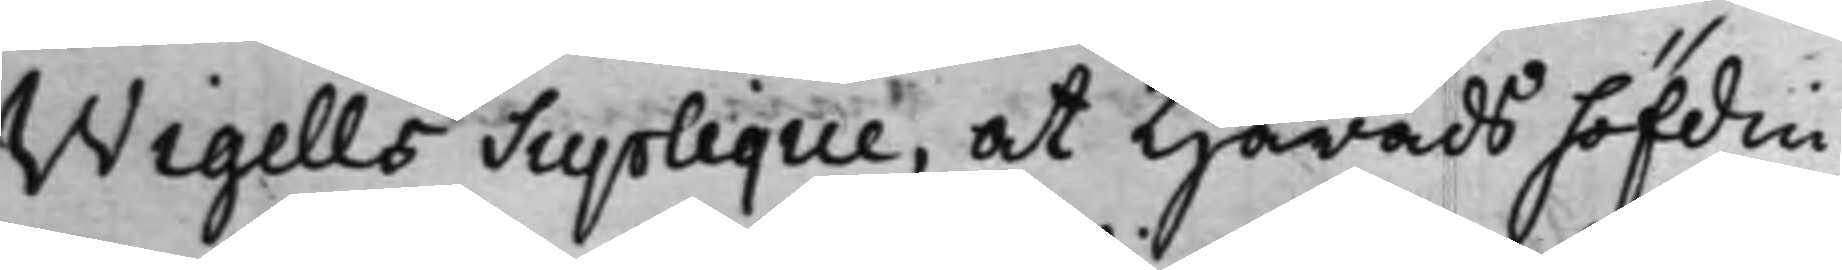Wigells Supplique, at Häradshöfdin¬
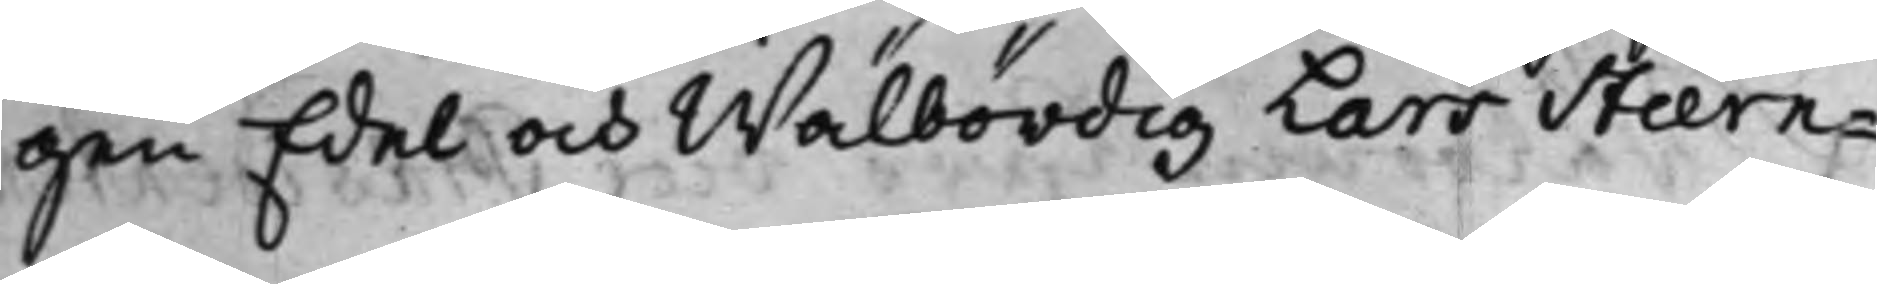gen Edel och Wälbördig Lars Stiern¬
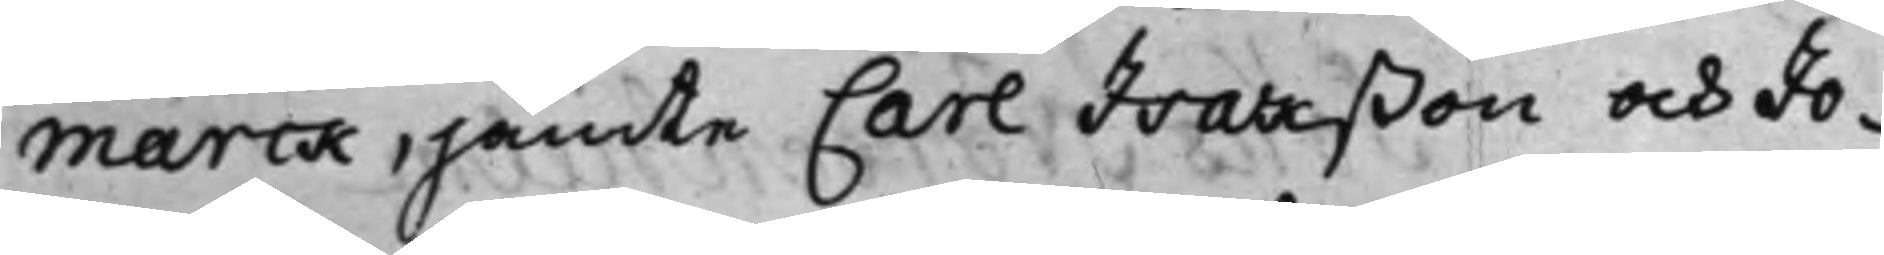marck, jämte Carl Isakßon och Jo¬
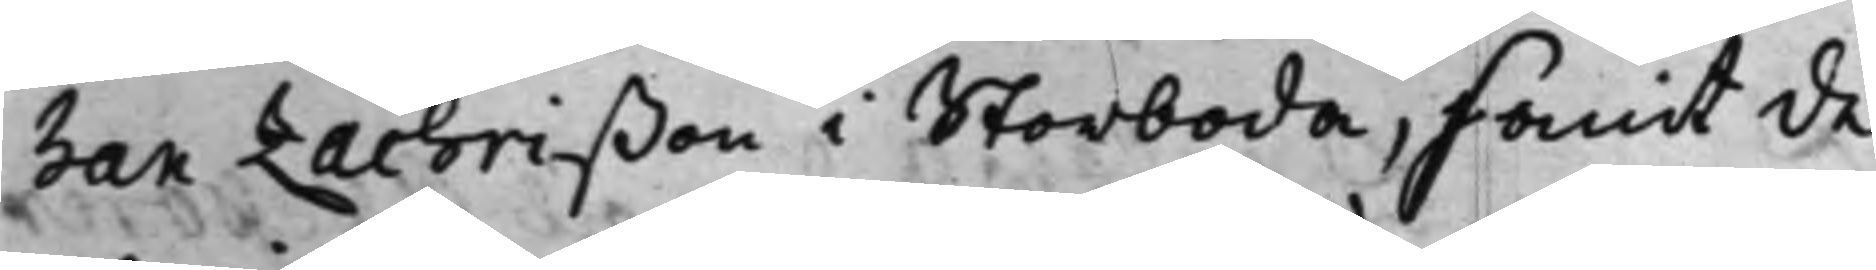han Zachrißon i Storboda, samt de
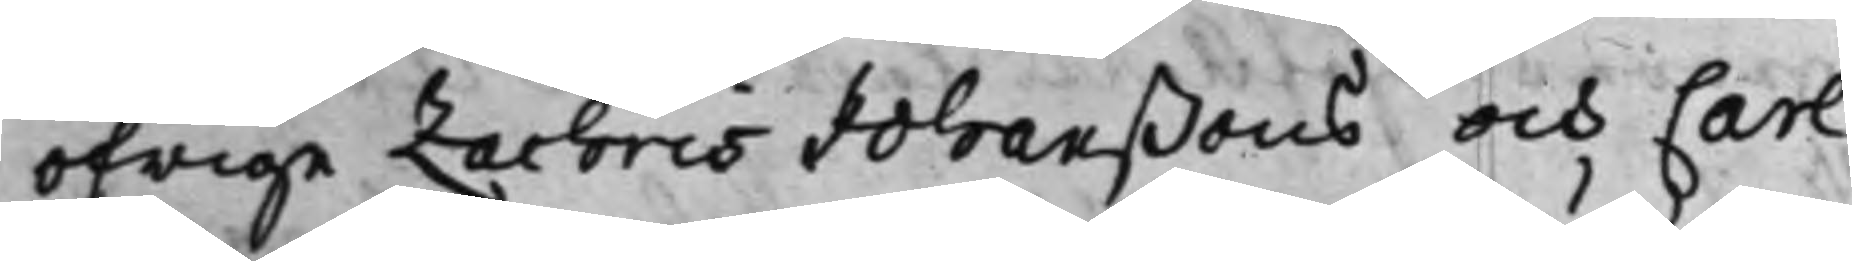öfrige Zachris Johanßons och Carl
